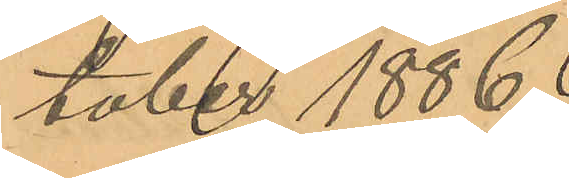tober 1886.
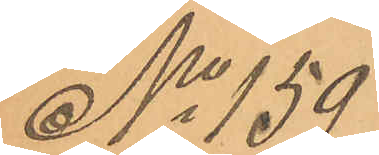No 159
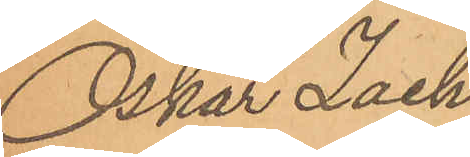Oskar Zach¬
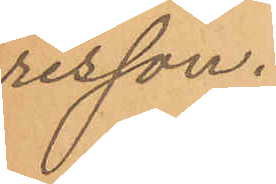risson.
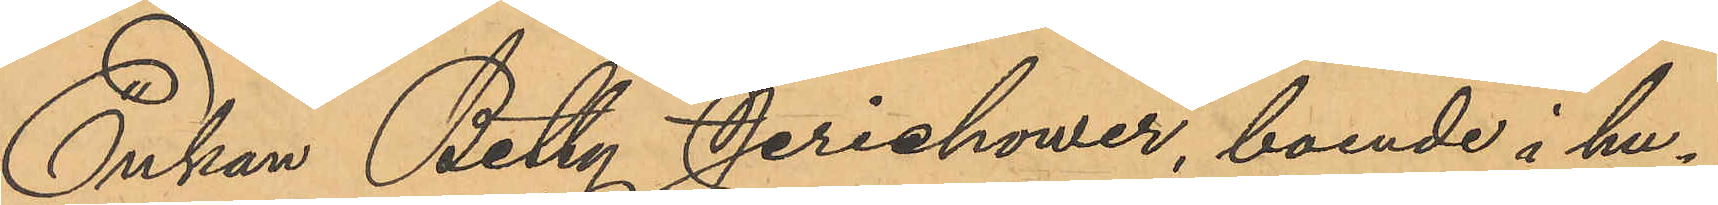Enkan Betty Jerichower, boende i hu¬
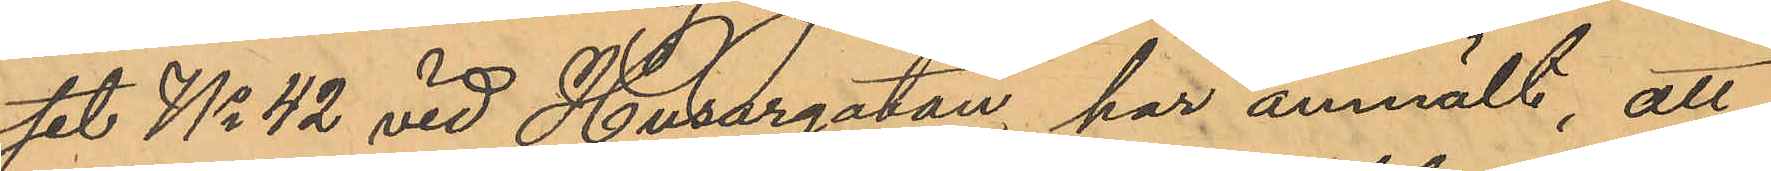set No 42 vid Husargatan, har anmält, att
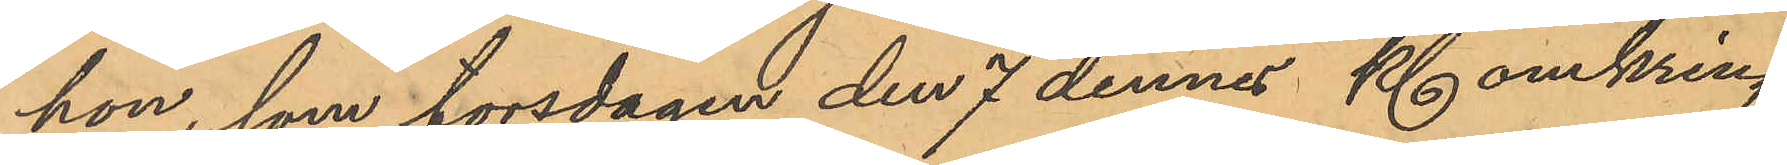hon, som torsdagen den 7 dennes Kl. omkring
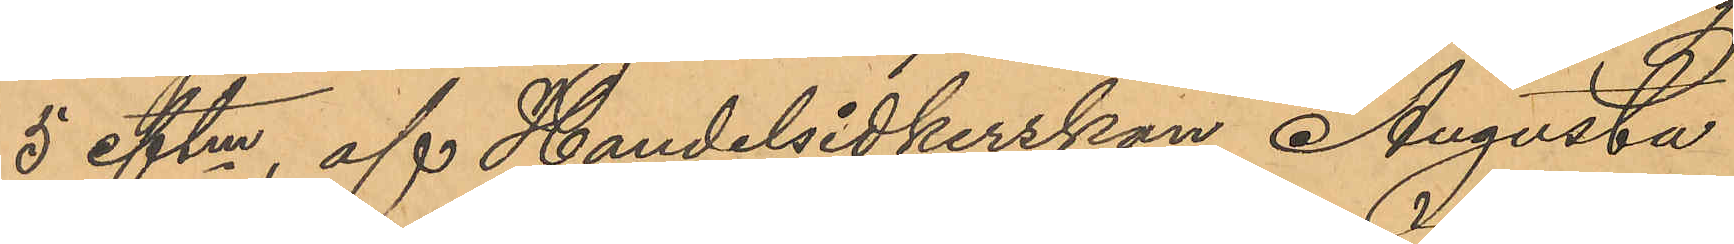5 eftm, af Handelsidkerskan Augusta
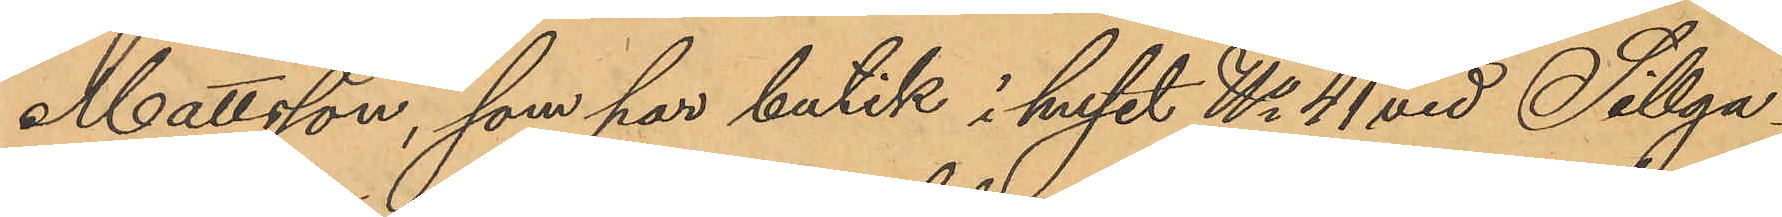Mattsson, som har butik i huset No 41 vid Sillga¬
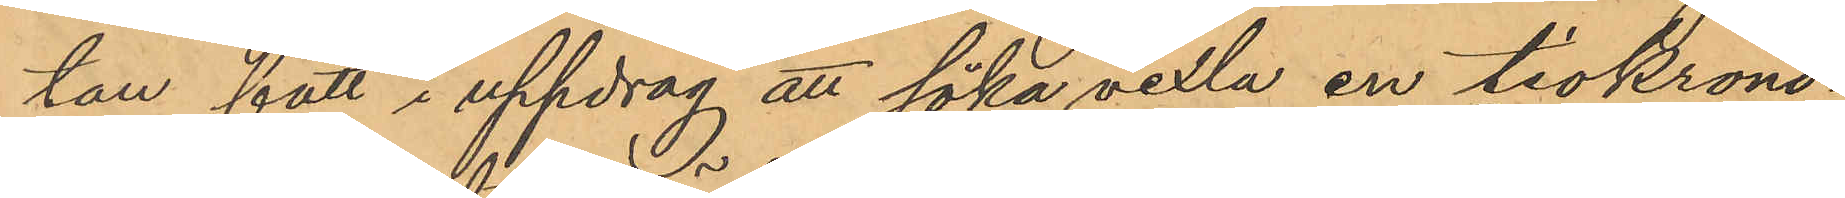tan fått i uppdrag att söka vexla en tiokrono¬
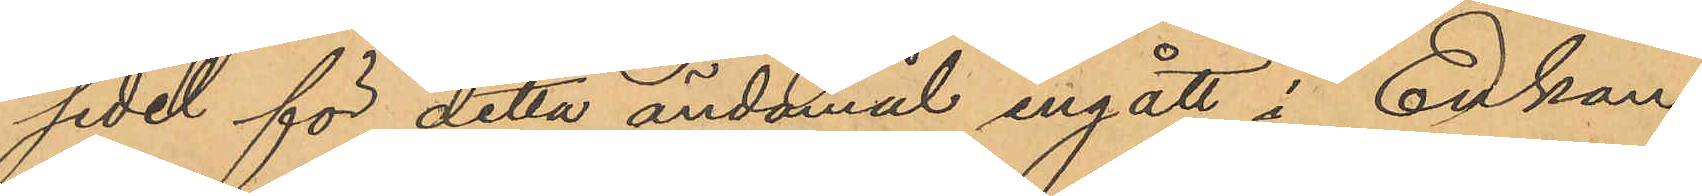sedel för detta ändamål ingått i Enkan
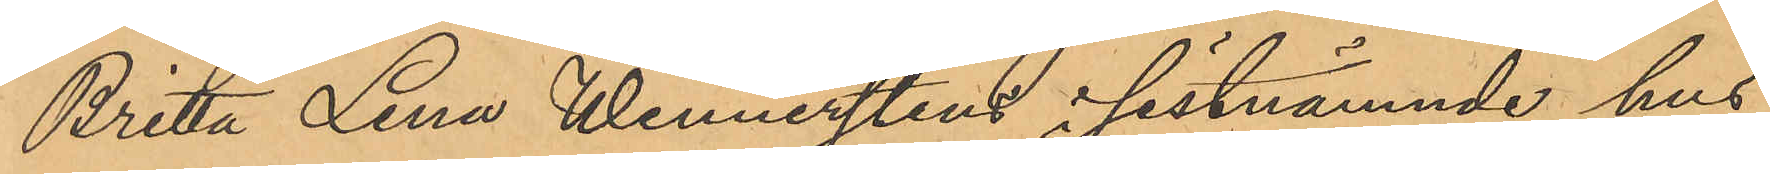Brita Lena Wennerstens i sistnämnde hus
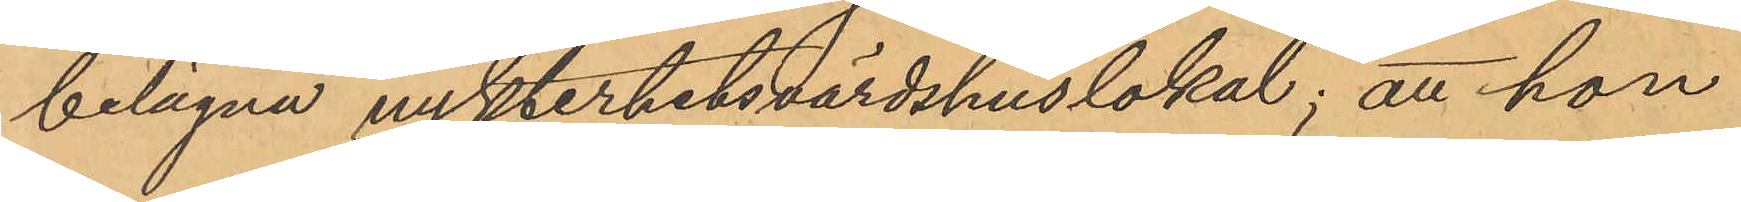belägna nykterhetsvärdshuslokal; att hon
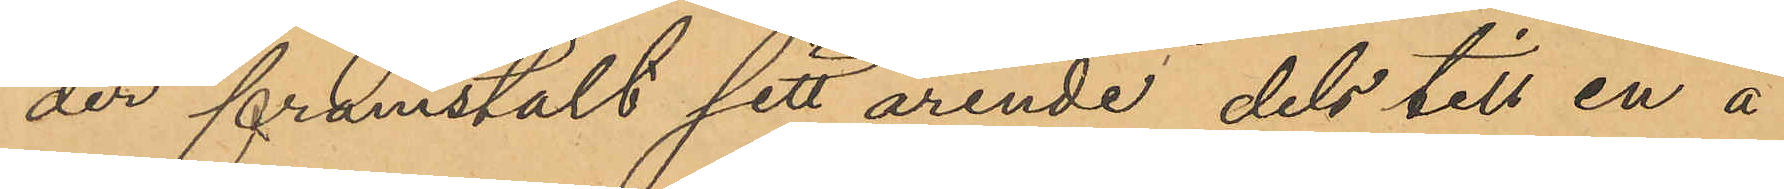der framstält sitt ärende dels till en å
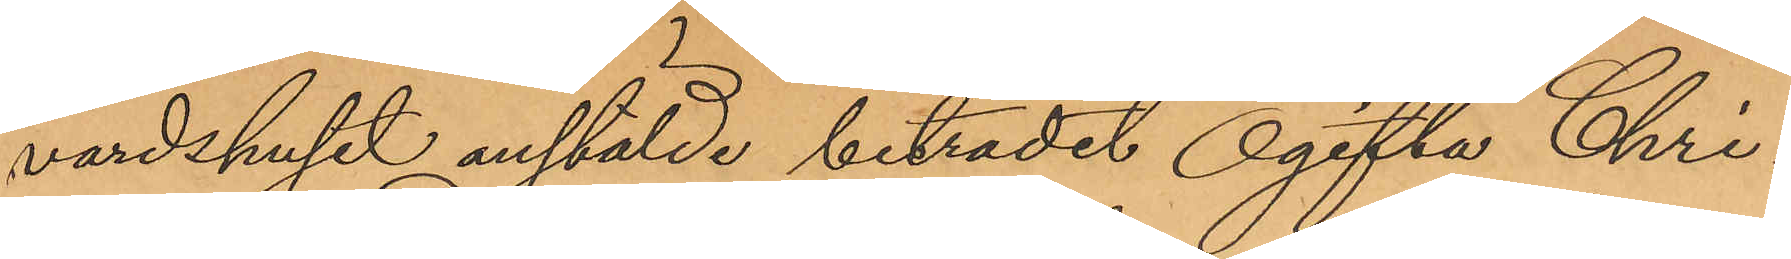värdshuset anstälde biträdet Ogifta Chri¬
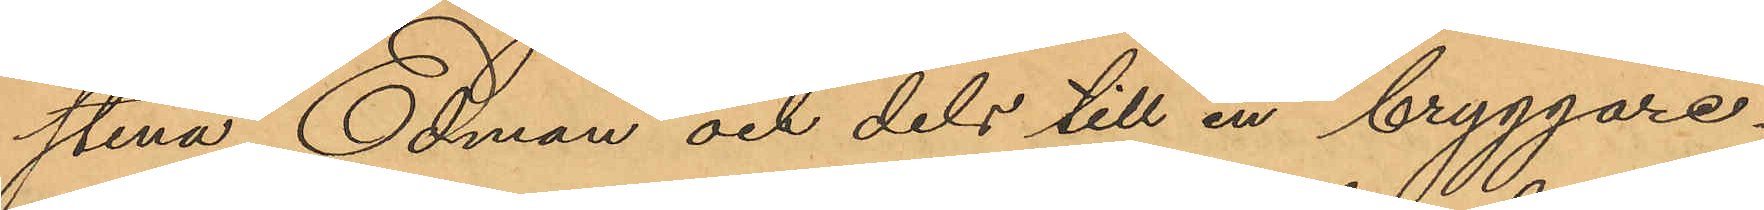stina Edman och dels till en bryggare¬
